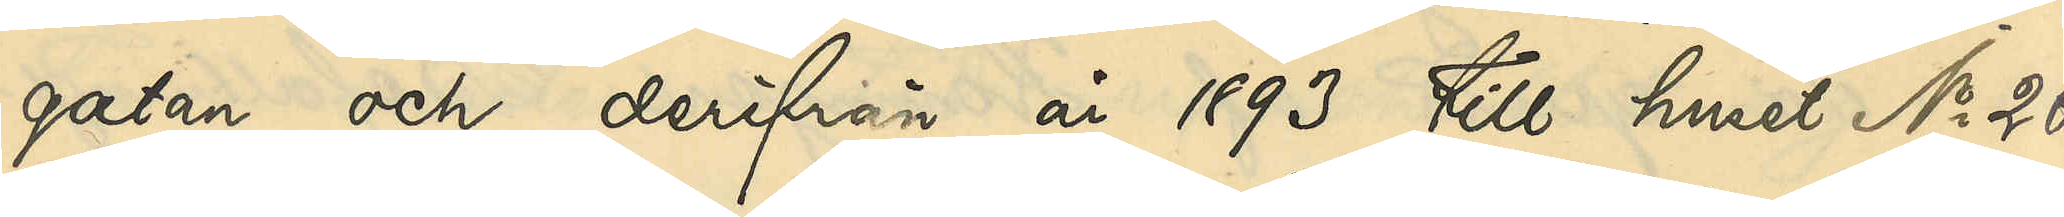gatan och derifrån år 1893 till huset No 26
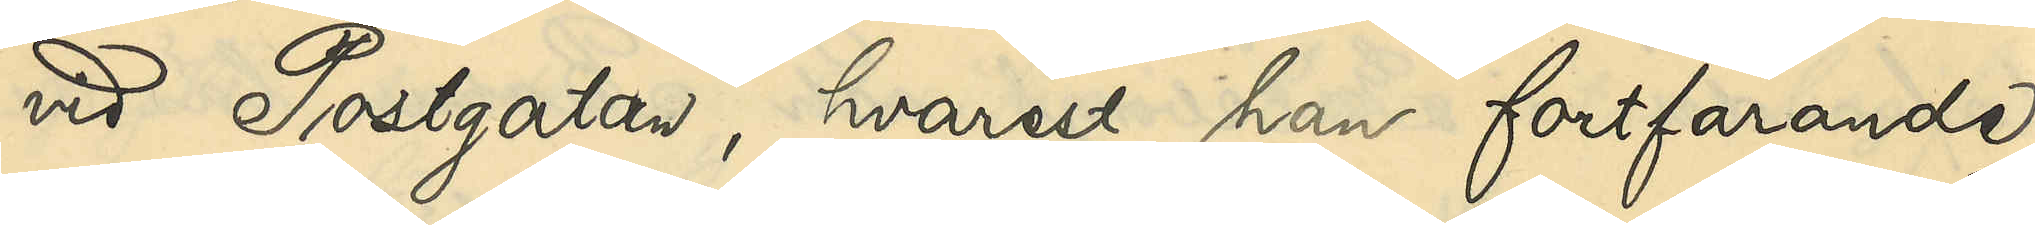vid Postgatan, hvarest han fortfarande
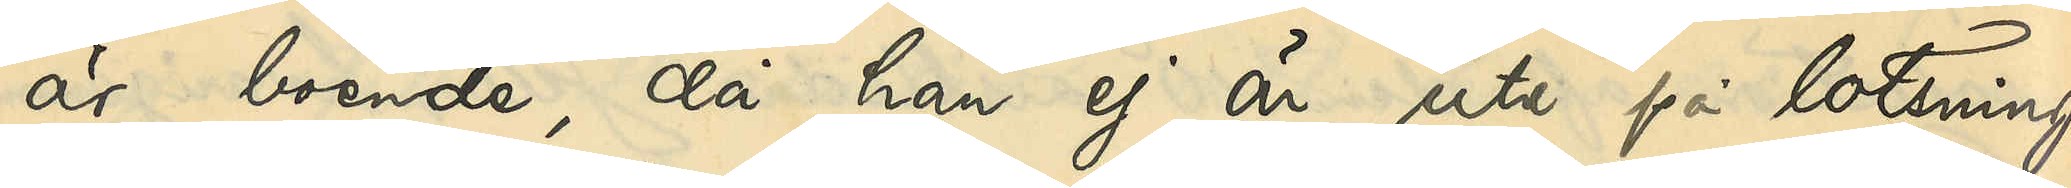är boende, då han ej är ute på lotsning
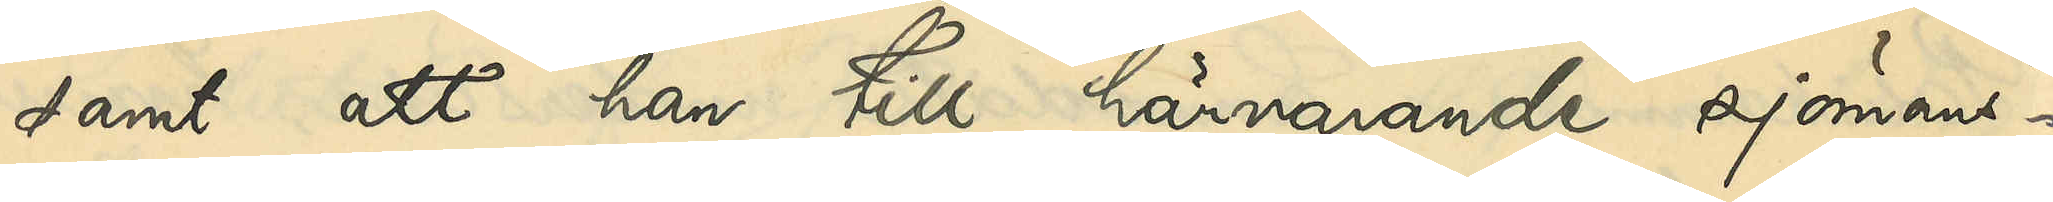samt att han till härvarande sjömans¬
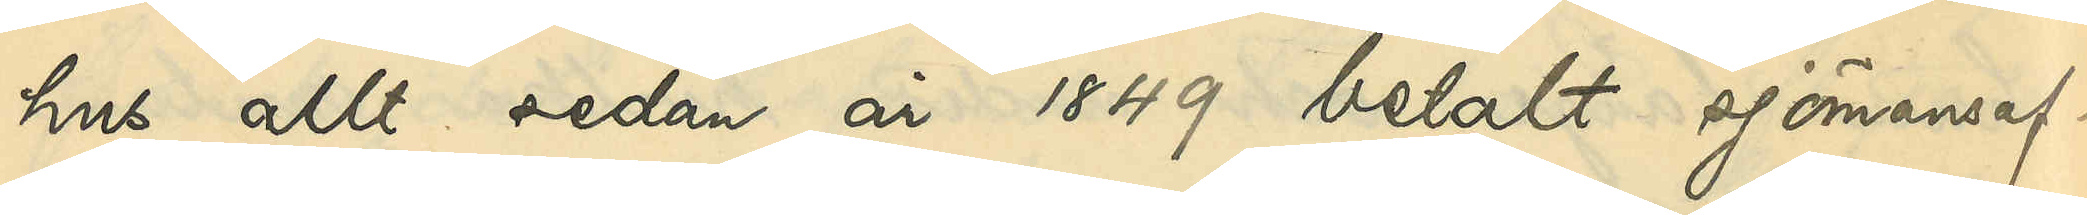hus allt sedan år 1849 betalt sjömansaf¬
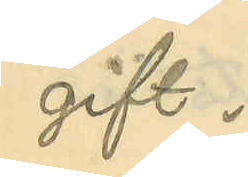gift.
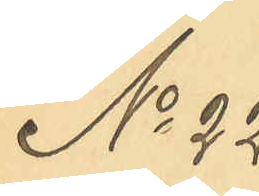No 22
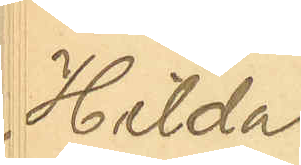Hilda
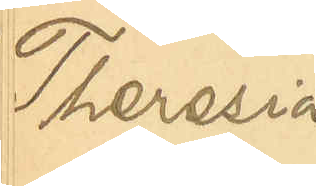Theresia
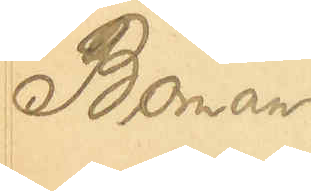Boman
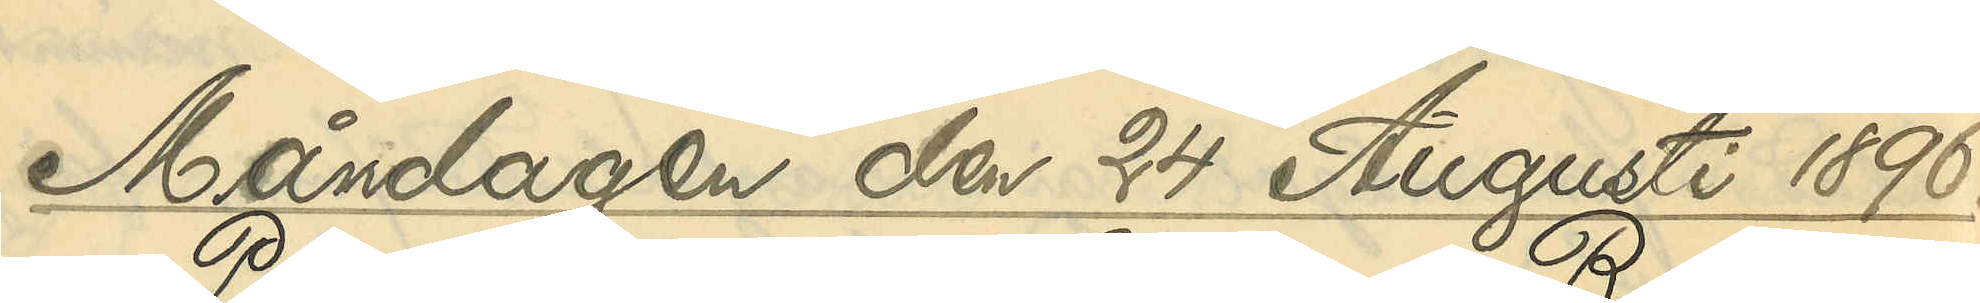Måndagen den 24 Augusti 1896.
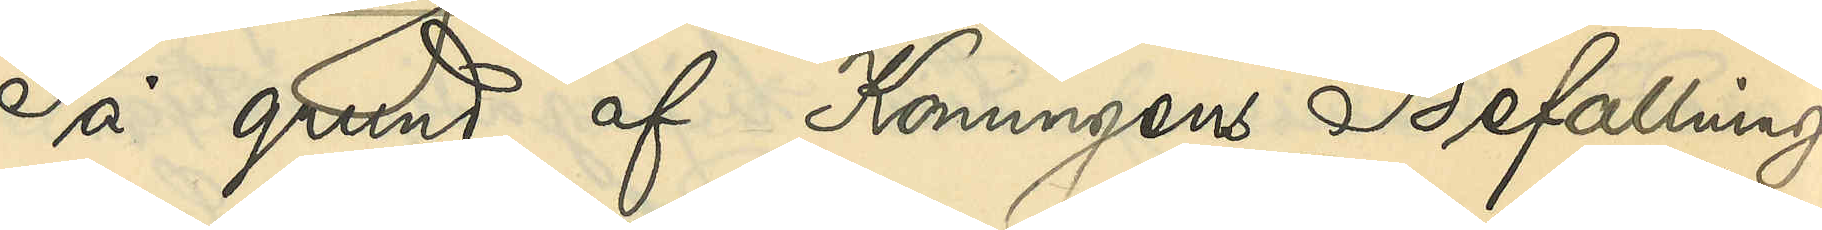På grund af Konungens Befallnings¬
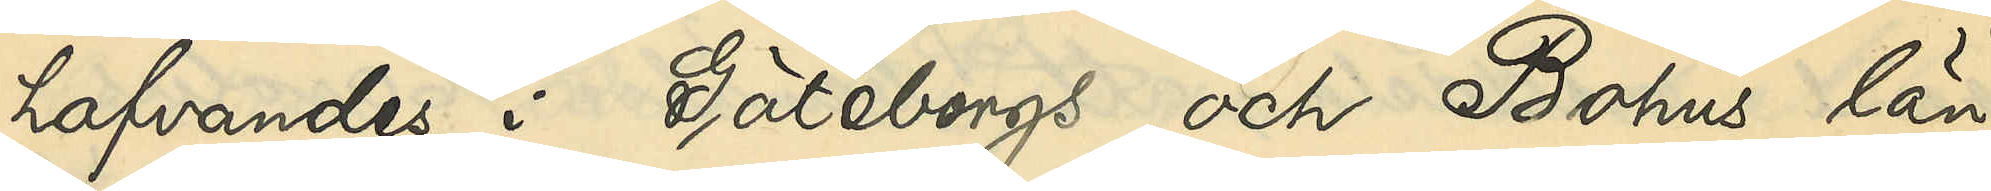hafvandes i Göteborgs och Bohus län
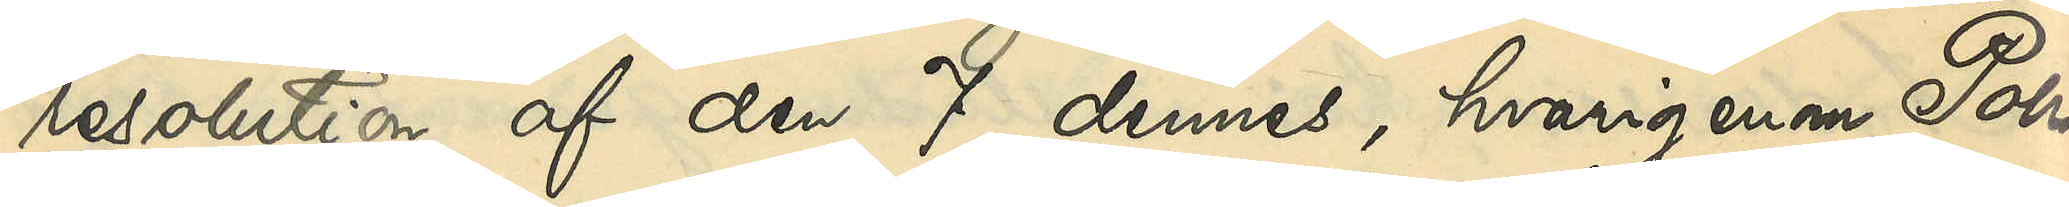resolution af den 7 dennes, hvarigenom Polis¬
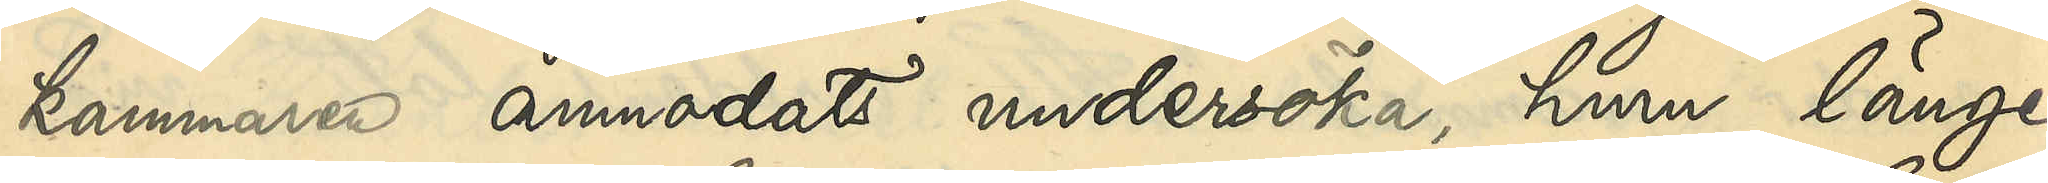kammaren anmodats undersöka huru länge
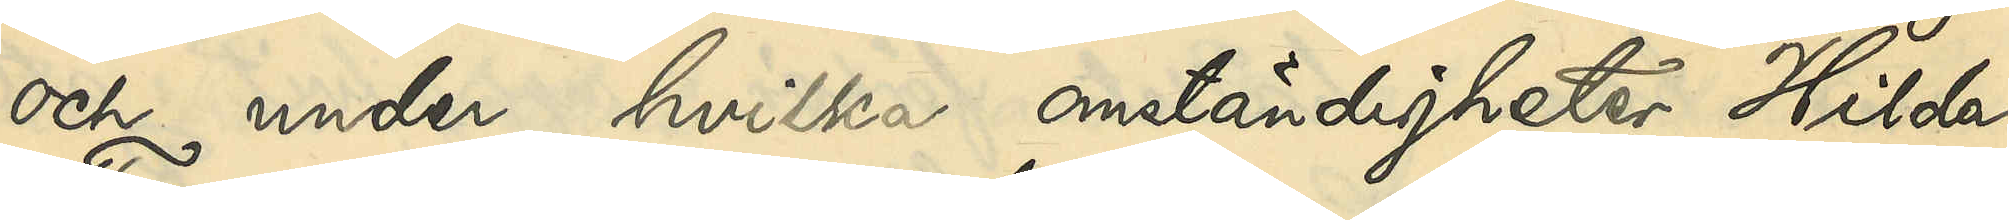och under hvilka omständigheter Hilda
